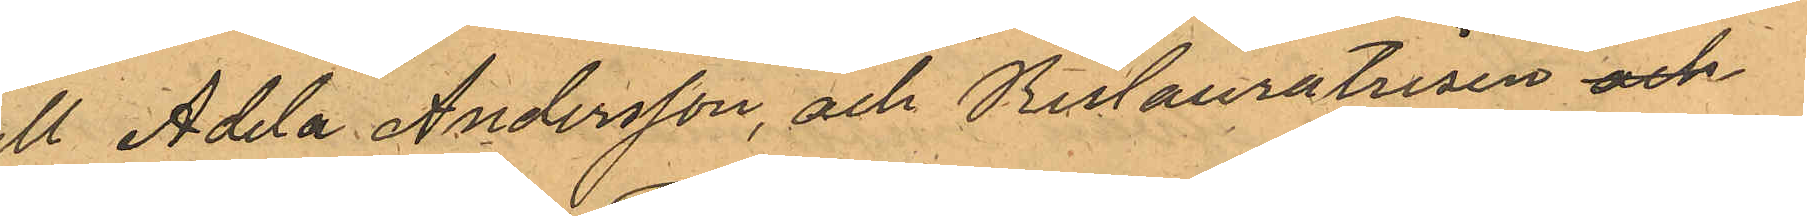till Adela Andersson, och Restauratrisen och
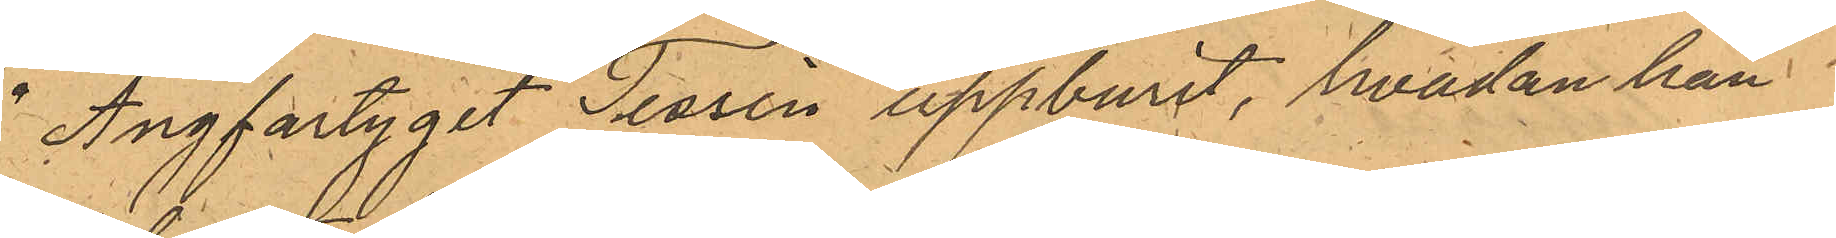å Ångfartyget Tessin uppburit, hvadan han
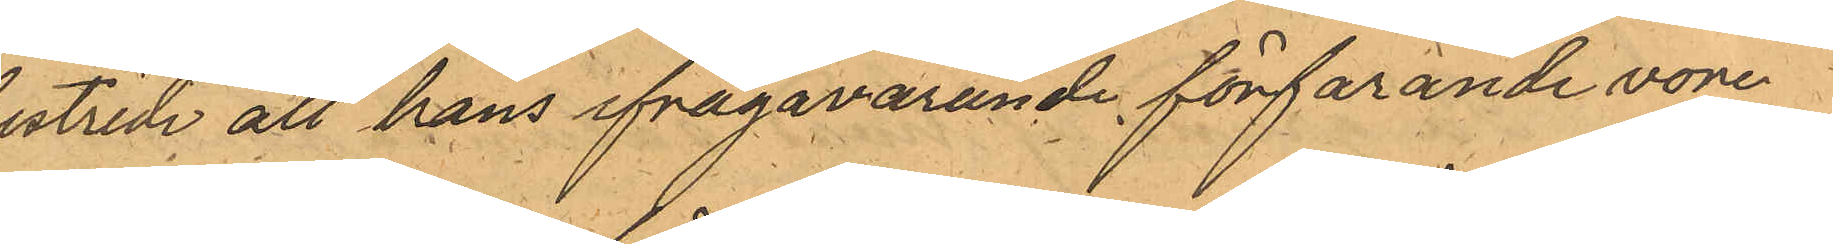bestride att hans ifrågavarande förfarande vore
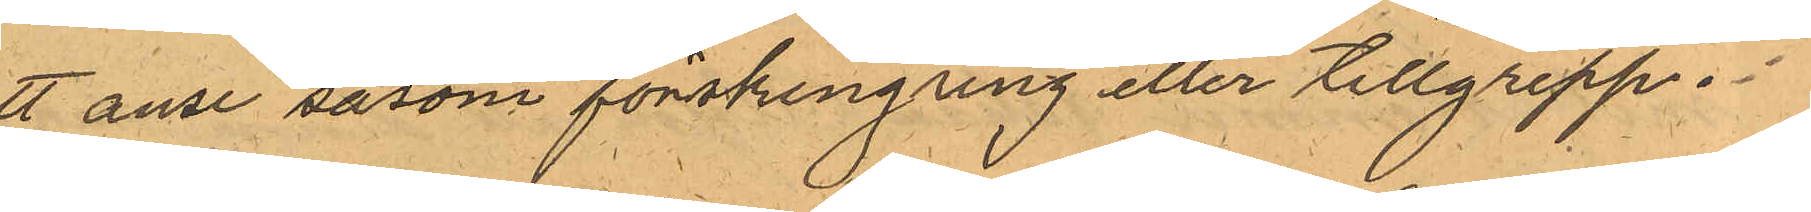att anse såsom förskingring eller tillgrepp.
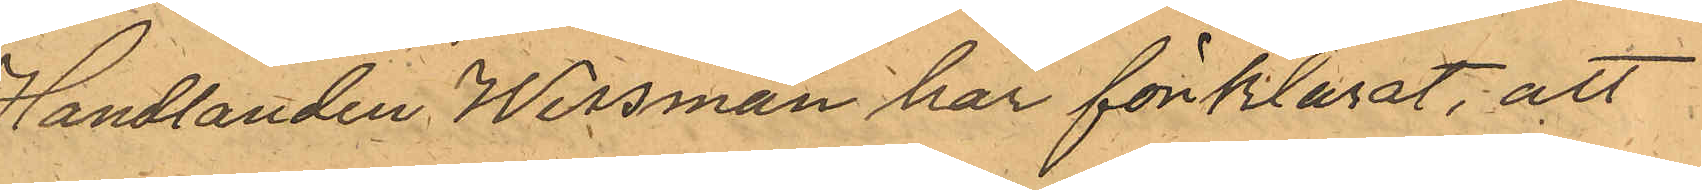Handlanden Wessman har förklarat, att
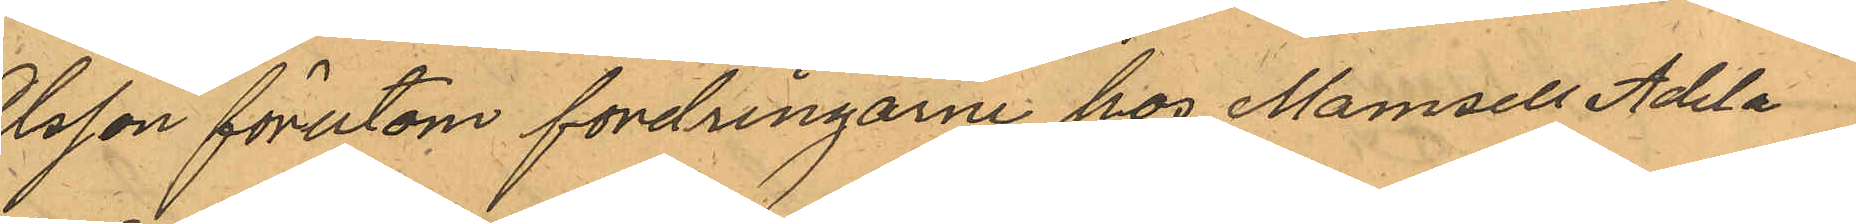Olsson förutom fordringarne hos Mamsell Adela
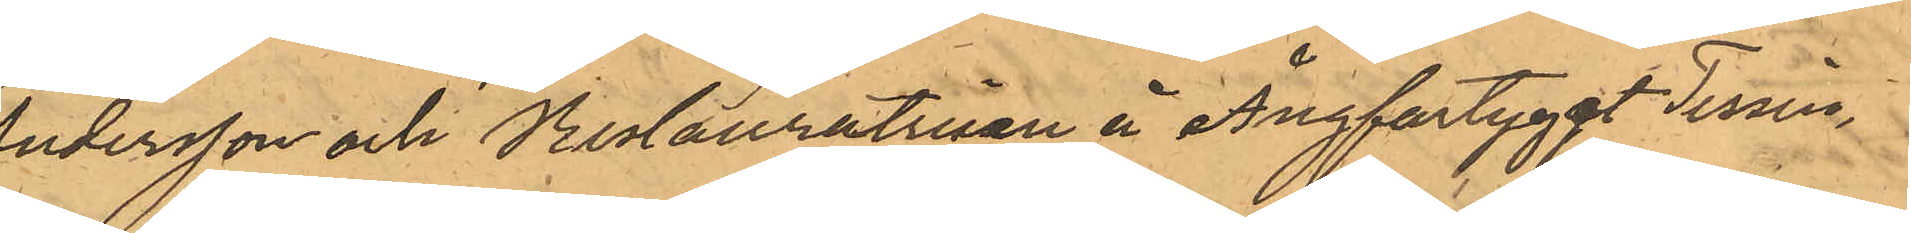Andersson och Restauratrisen å Ångfartyget Tessin,
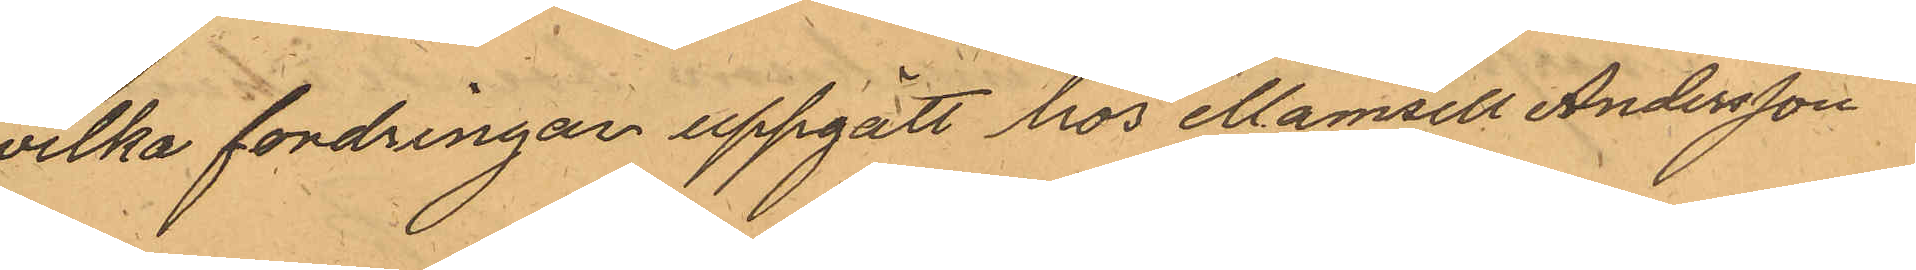hvilka fordringar uppgått hos Mamsell Andersson
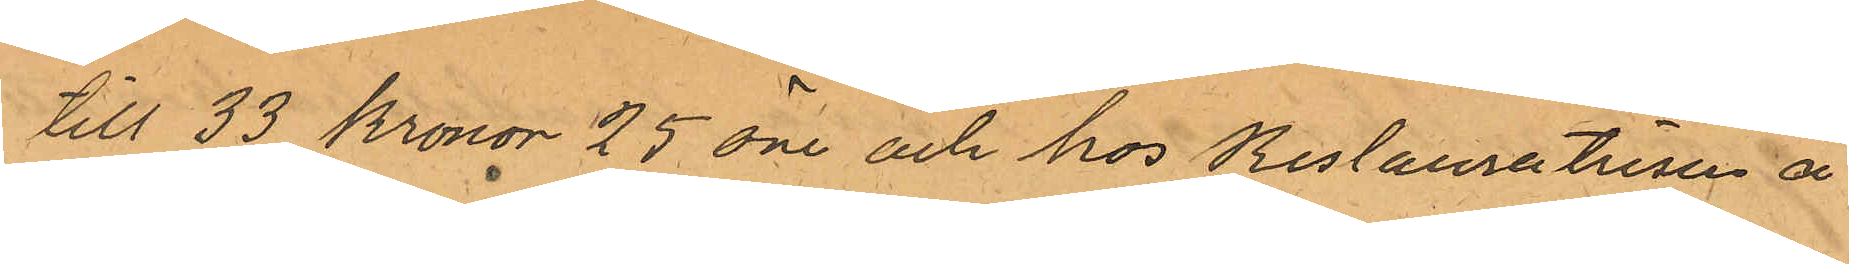till 33 Kronor 25 öre och hos Restauratrisen å
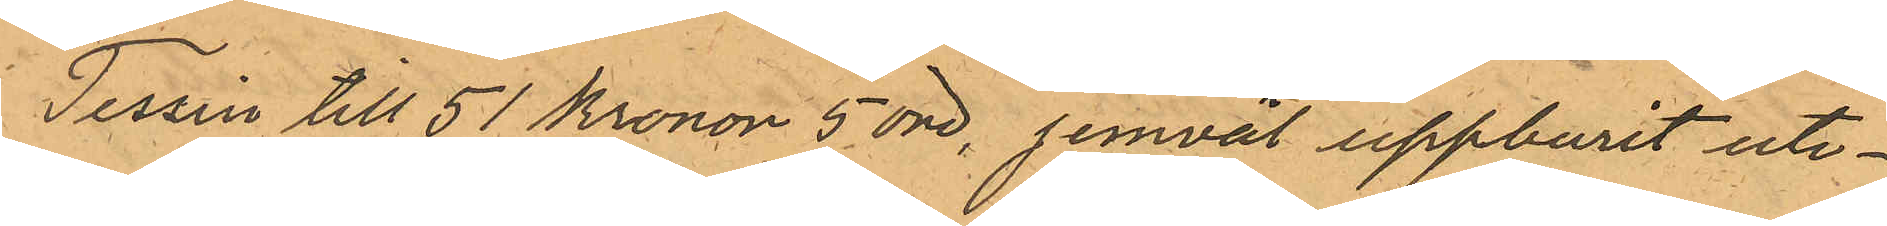Tessin till 51 Kronor 5 öre, jemväl uppburit ute¬
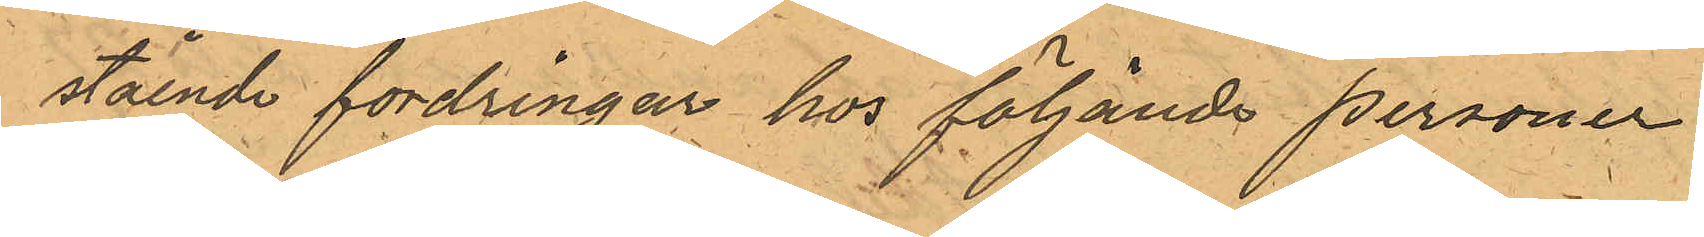stående fordringar hos följande personer
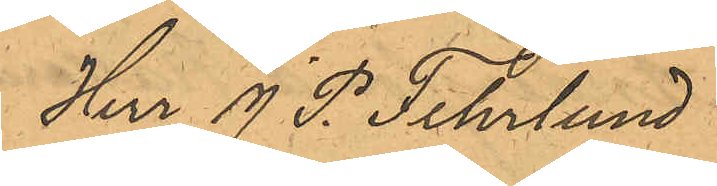Herr J P. Fehrlund
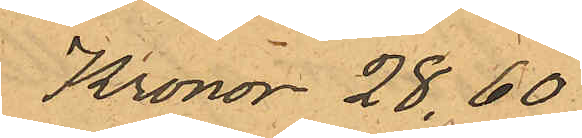Kronor 28,60
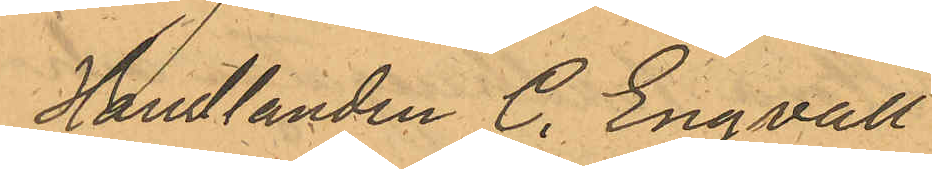Handlanden C. Engvall
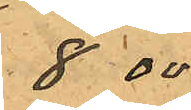8.00
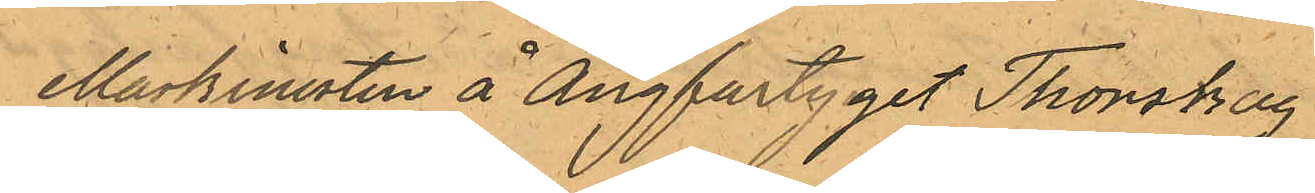Maskinisten å Ångfartyget Thorskog
